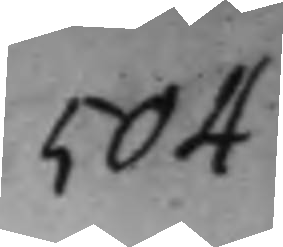504
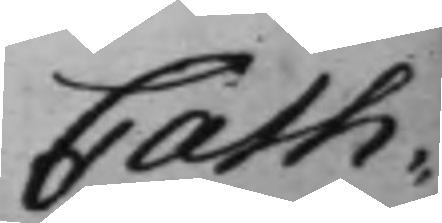Cath:
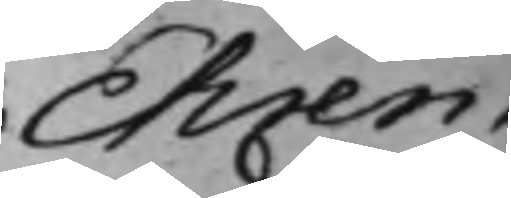Ehren¬
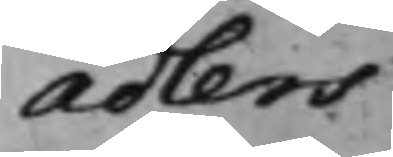adlers
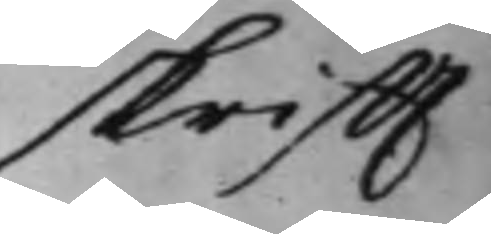skrifft
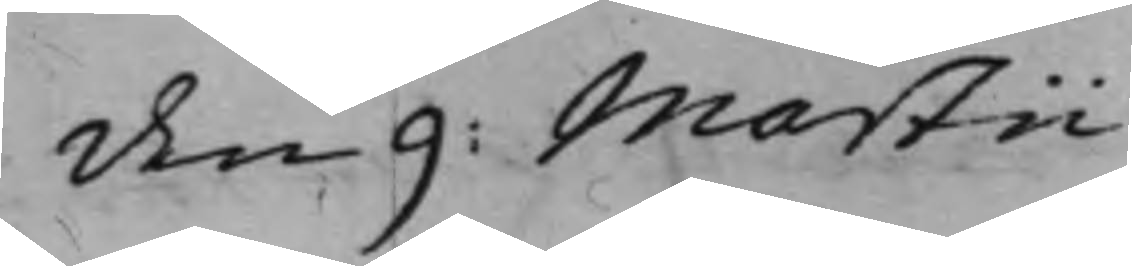den 9: Martii
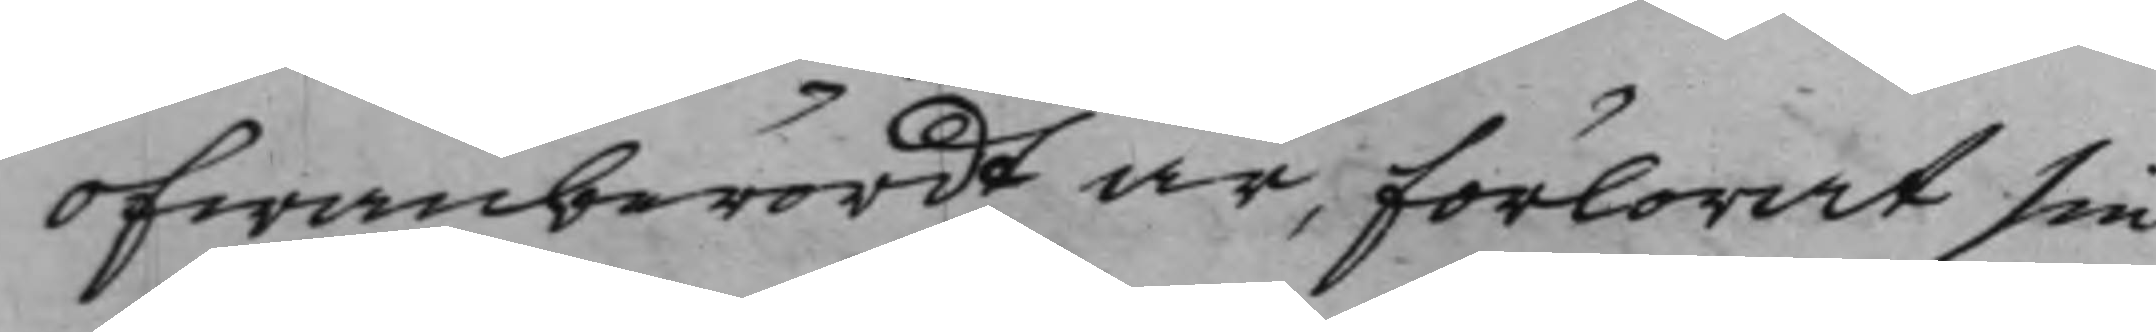ofwanberördt är, förlorat sin
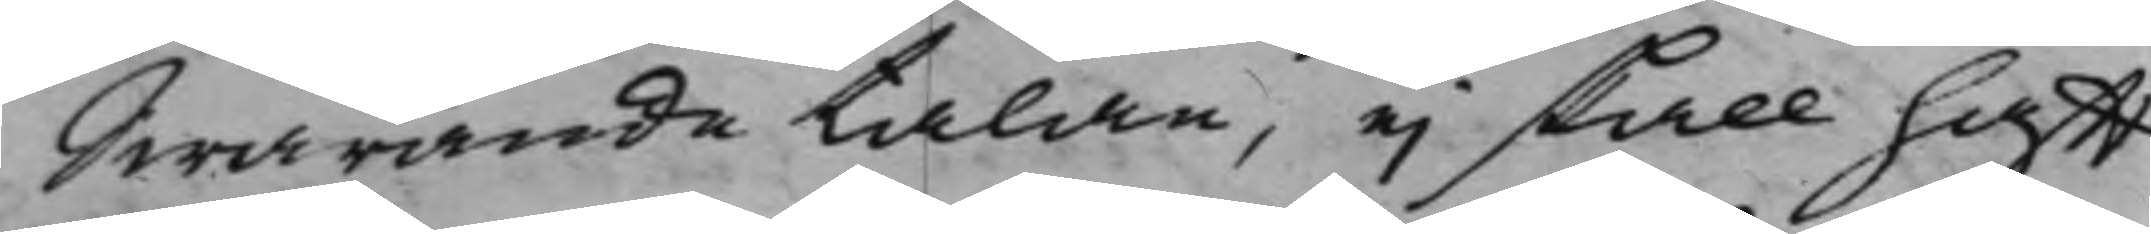Swarandetalan, ei skall hafft
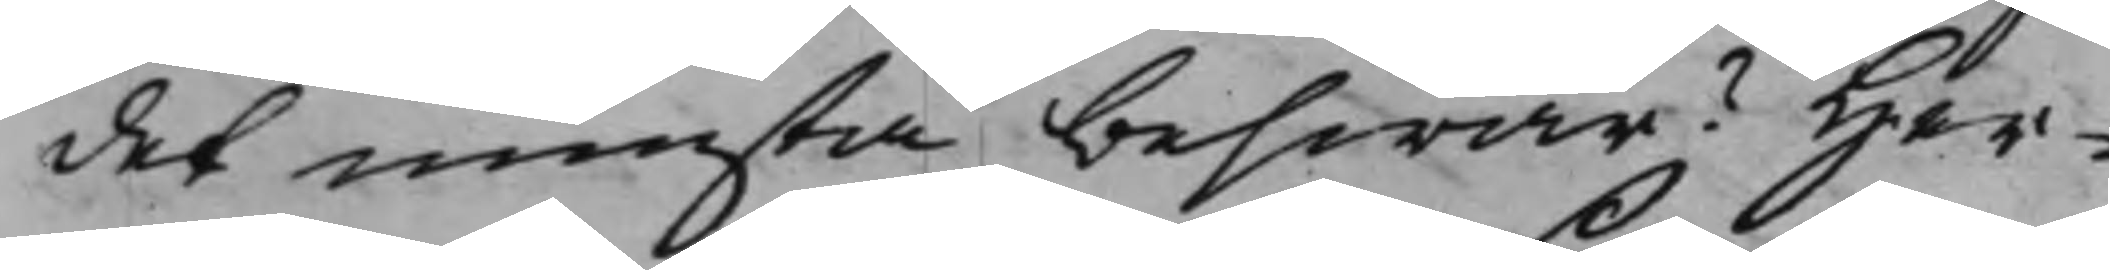det minsta beswär? Her¬
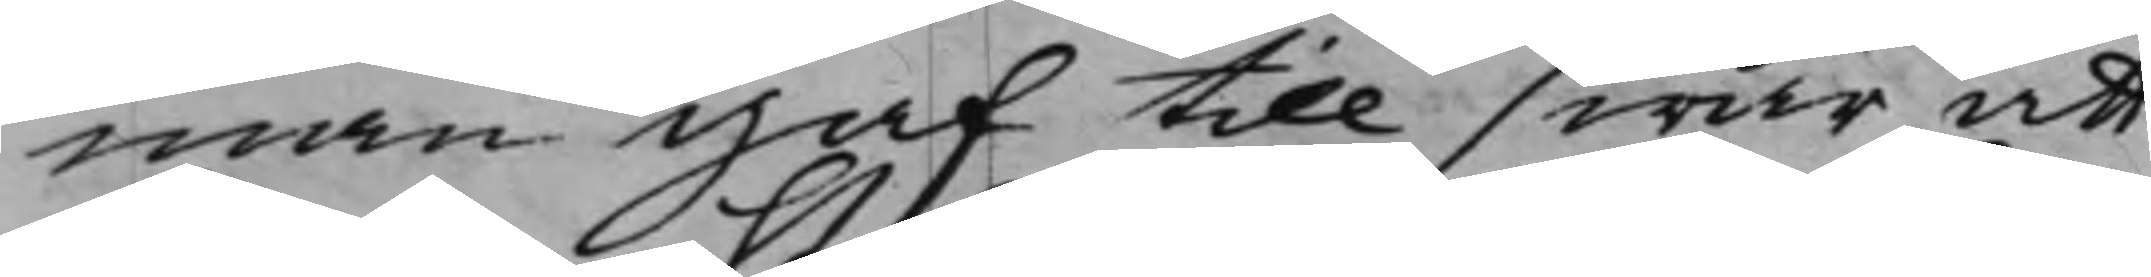man gaf till swar att
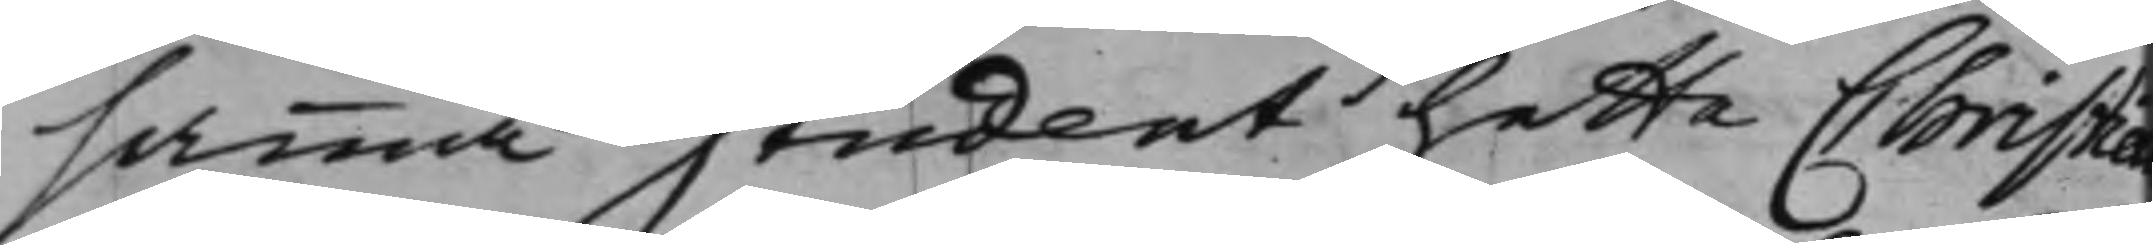samma Student hette Christia
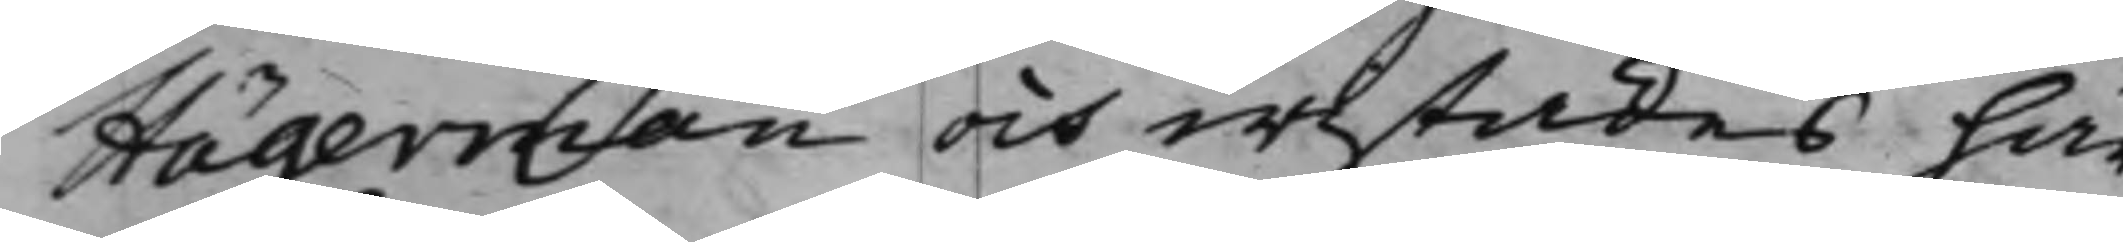Hägerman och wistades här
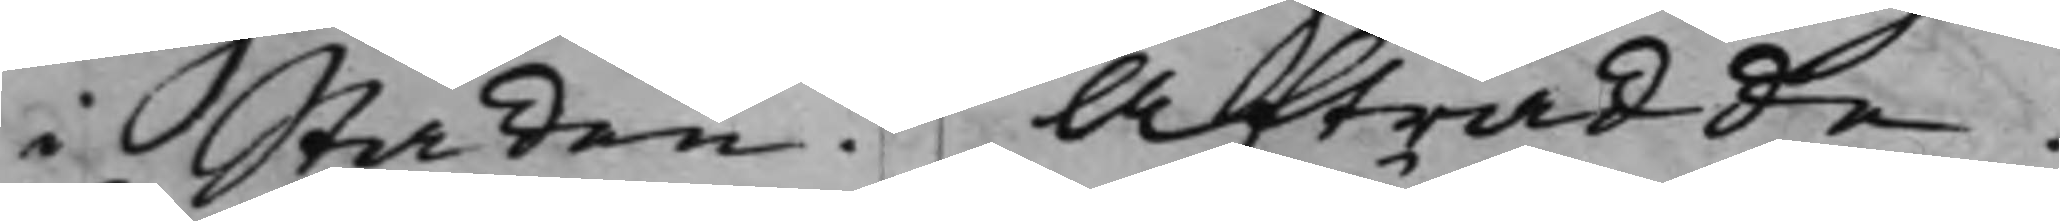i Staden. Afträdde.
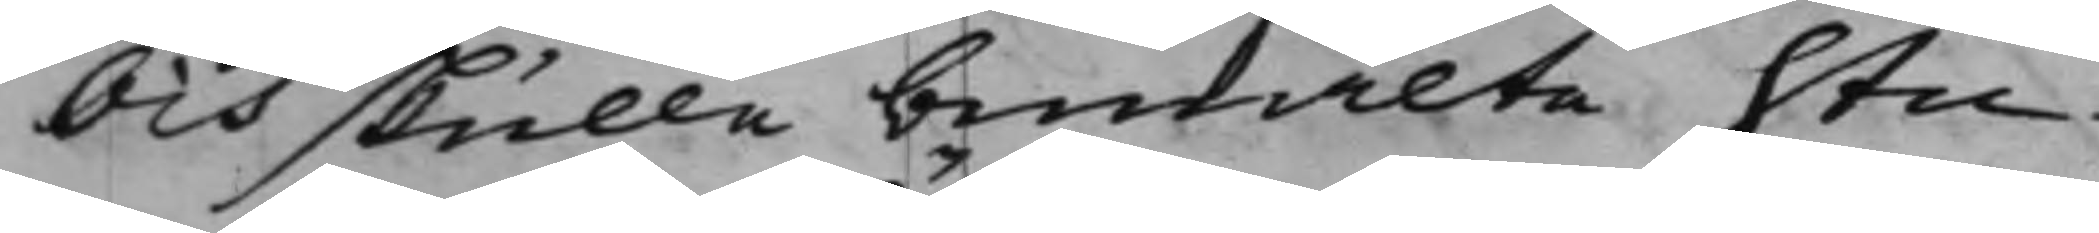Och skulle bemälte Stu¬
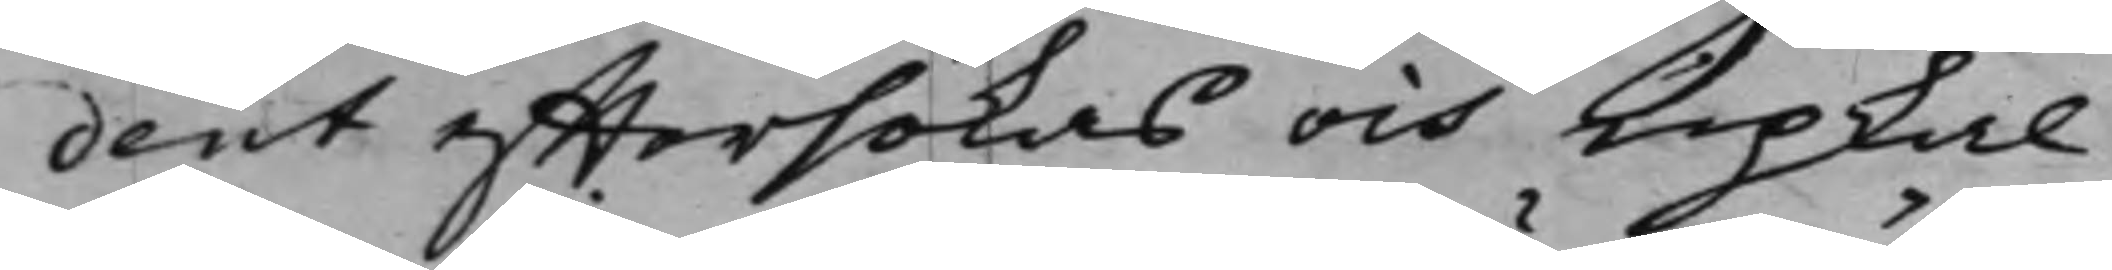dent efftersökas och upkal¬
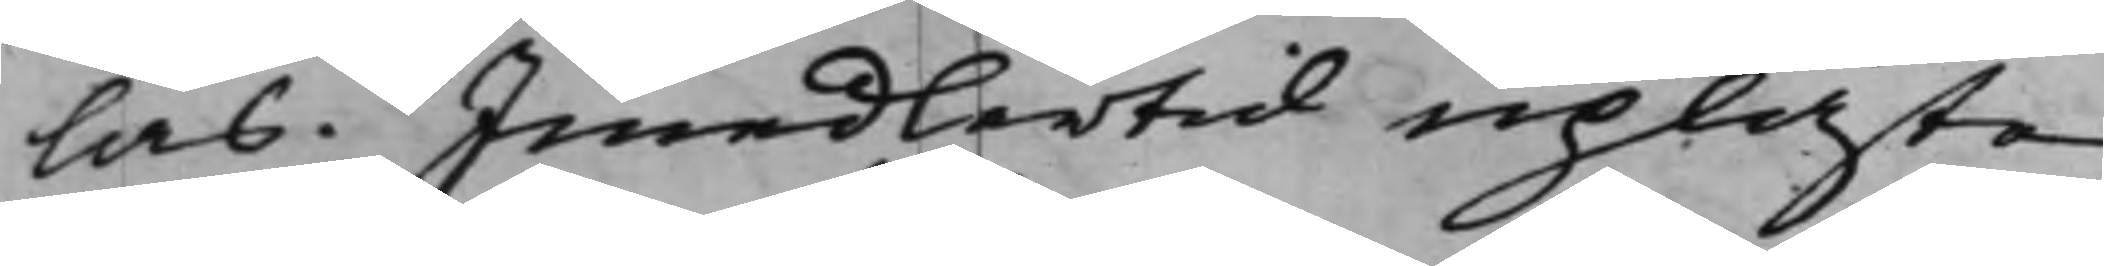las. Imedlertid upläste
